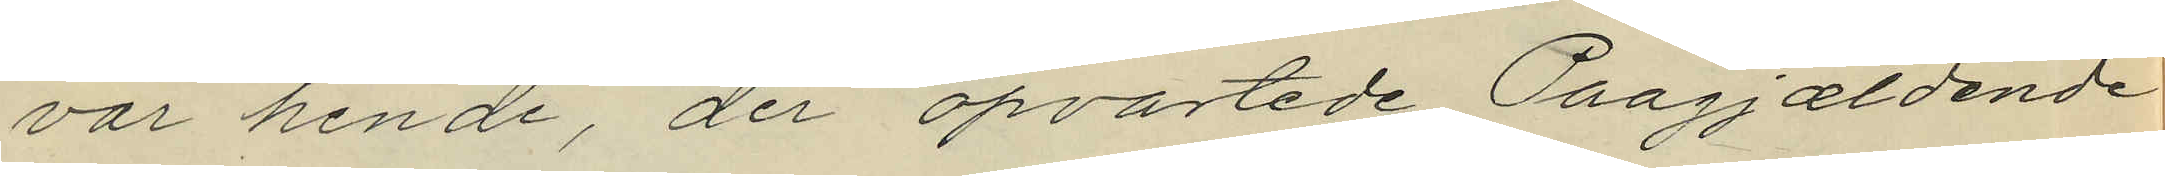var hende, der opvartede Paagjældende
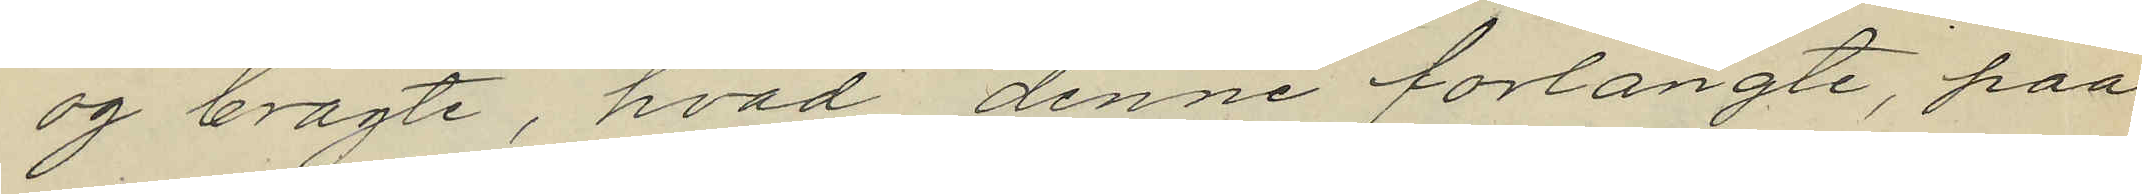og bragte, hvad denne forlangte, paa
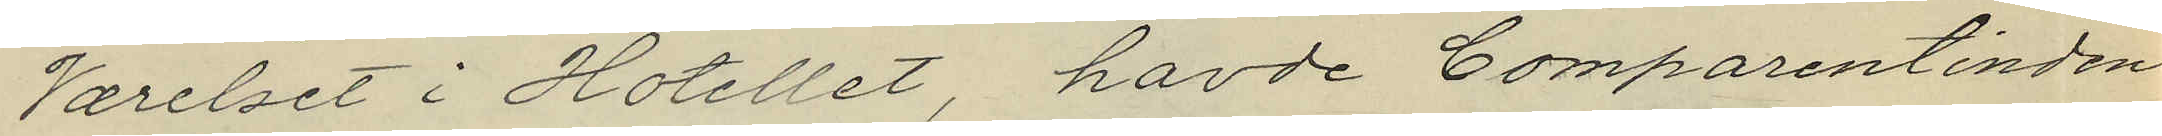Varelset i Hotellet, havde Comparentinden
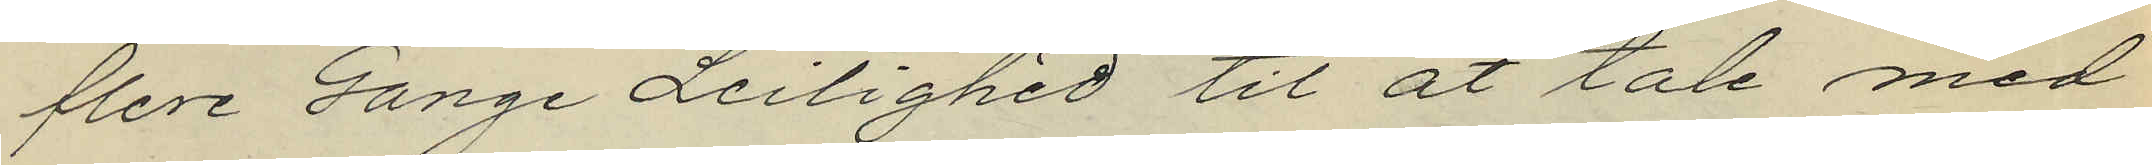flere Gange Leilighed til at tale med
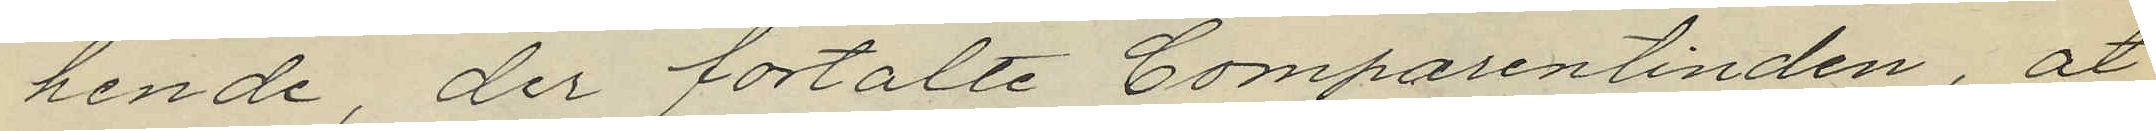hende, der fortalte Comparentinden, at
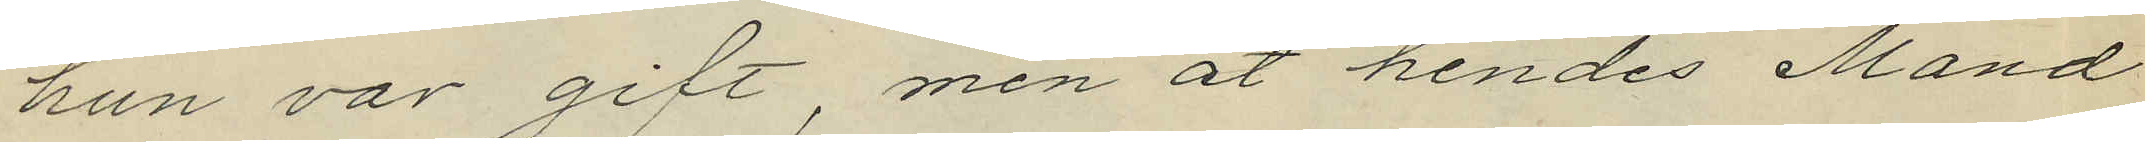hun var gift, men åt hendes Mand
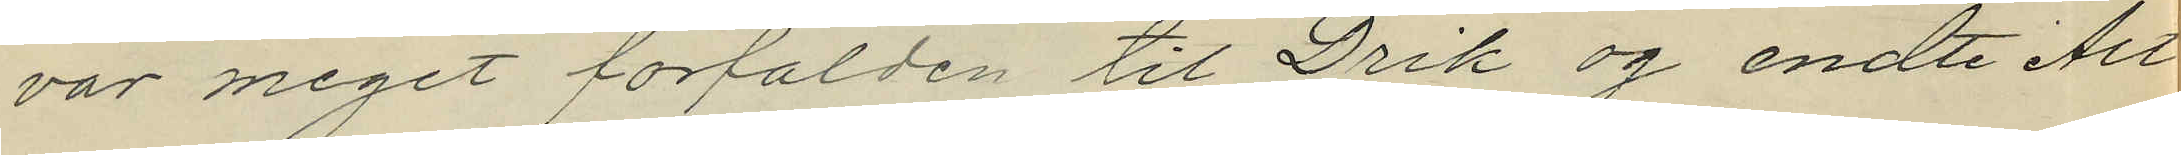var meget forfalden til Drik eg endte Alt
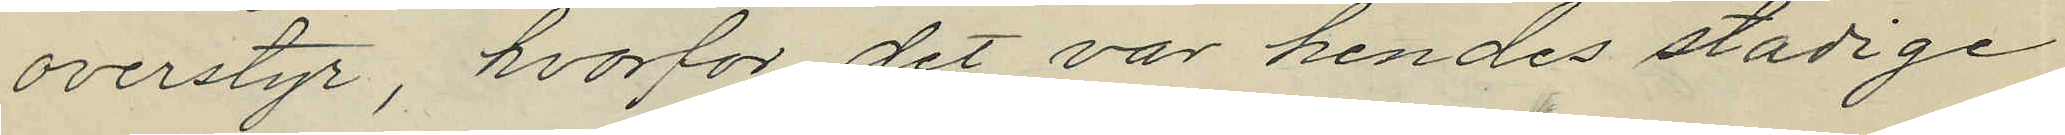overstyr, hvorfor det var hendes stadige
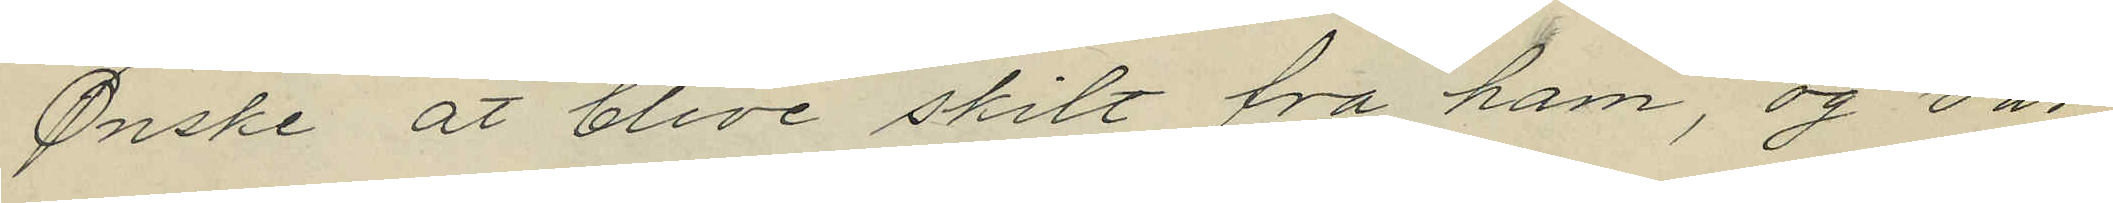Ønske at blive skilt fra ham,og var
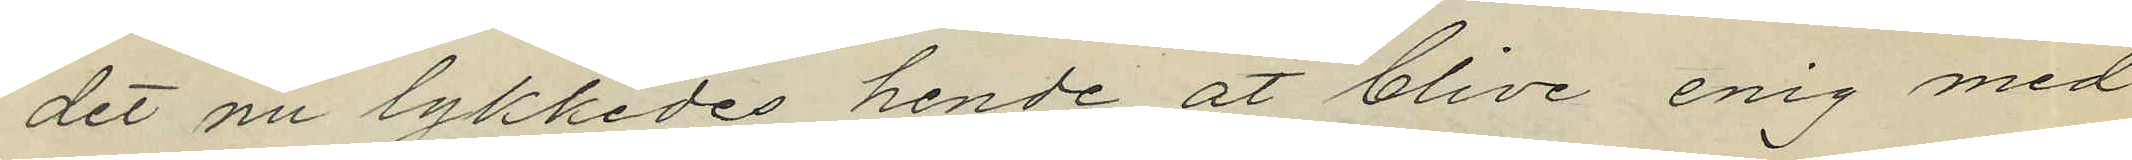det nu lykkedes hende at blive enig med
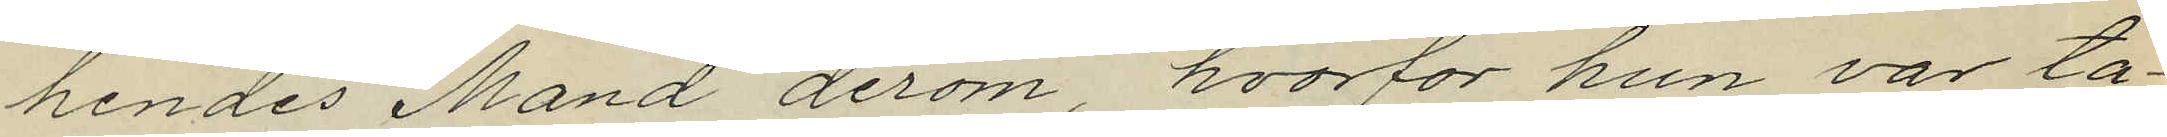hendes Mand derom, hvorfor hon var ta¬
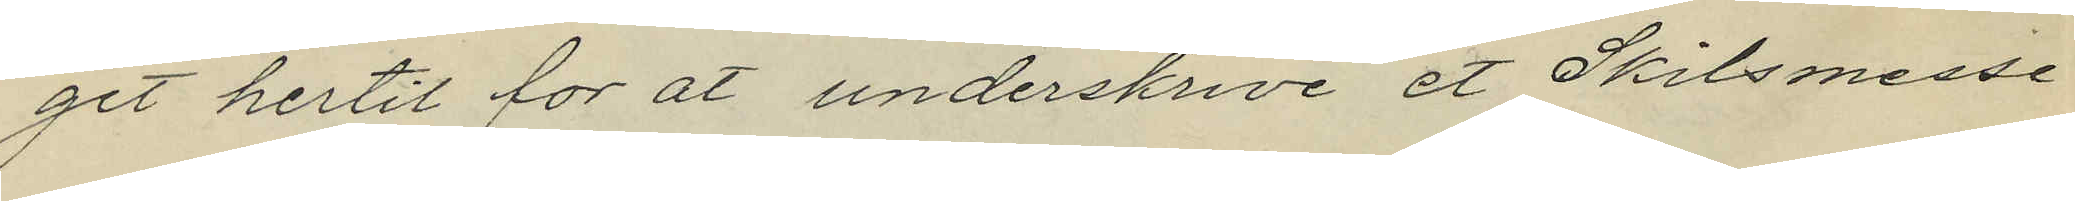get hertil for at underskrive et Skilsmesse¬
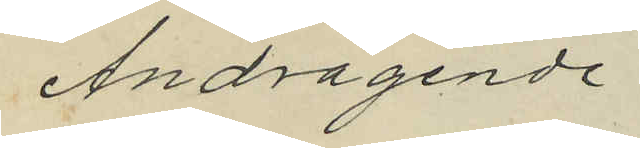Andragende.
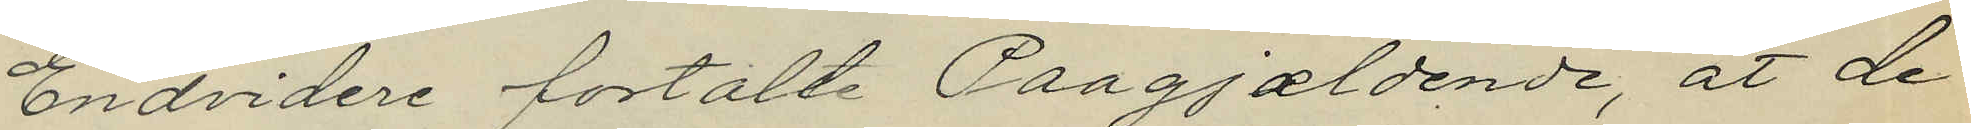Endvidere fortalte Paagjaldende, at de
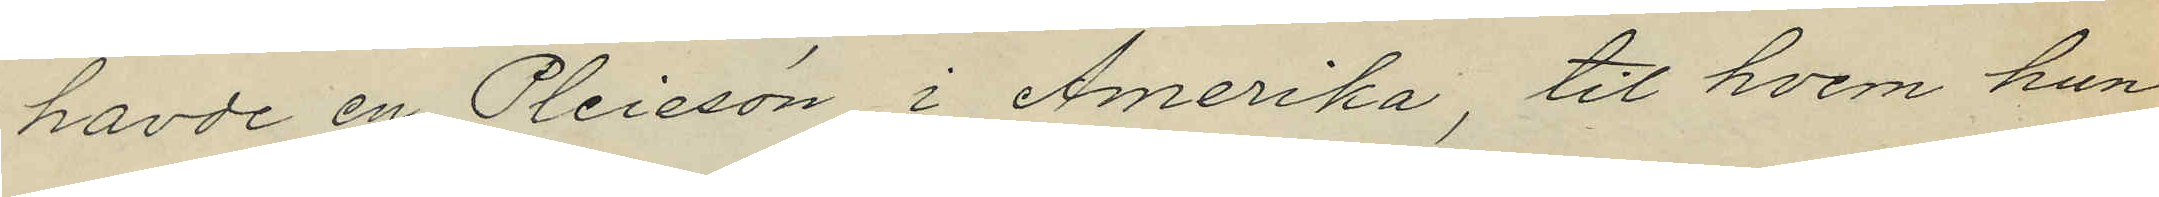havde en Pleiesön i Amerika, til hvem han
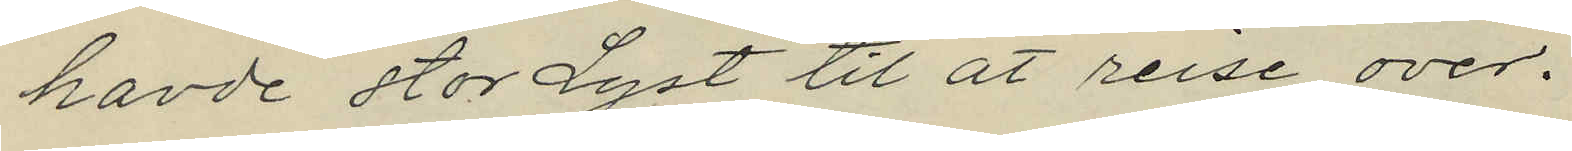havde stor Lyst til at reise over.
